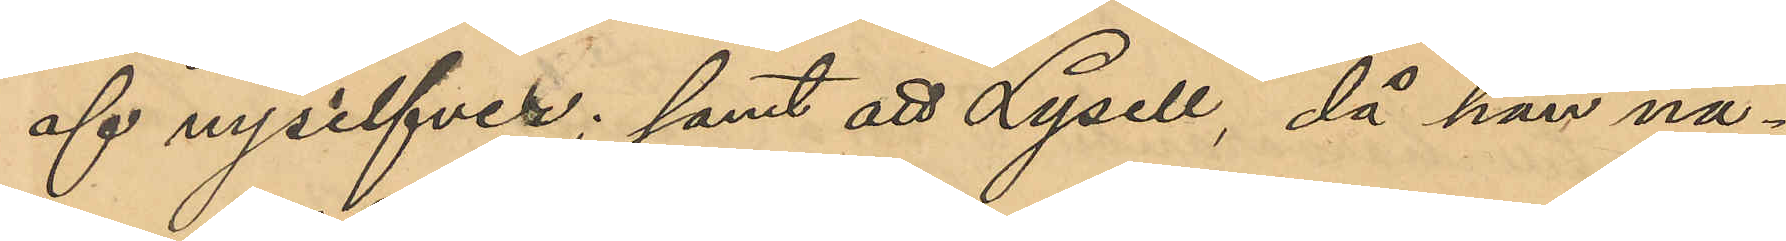af nysilfver; samt att Lysell, då han nå¬
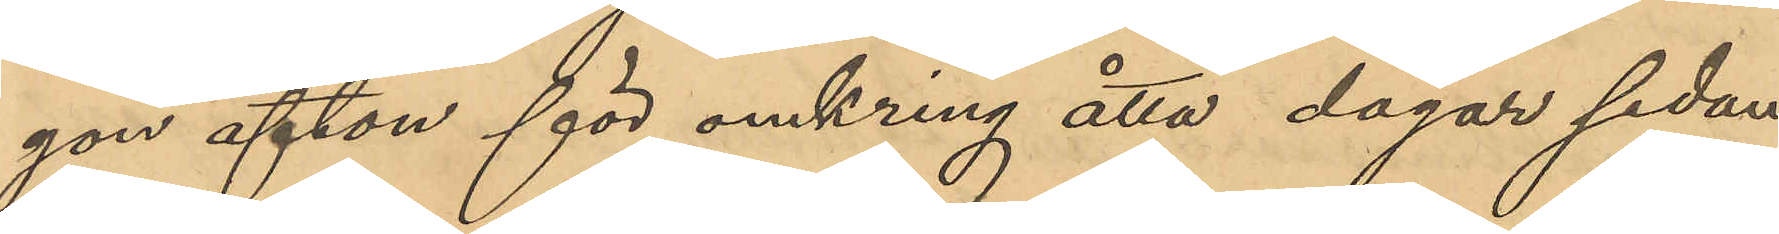gon afton för omkring åtta dagar sedan
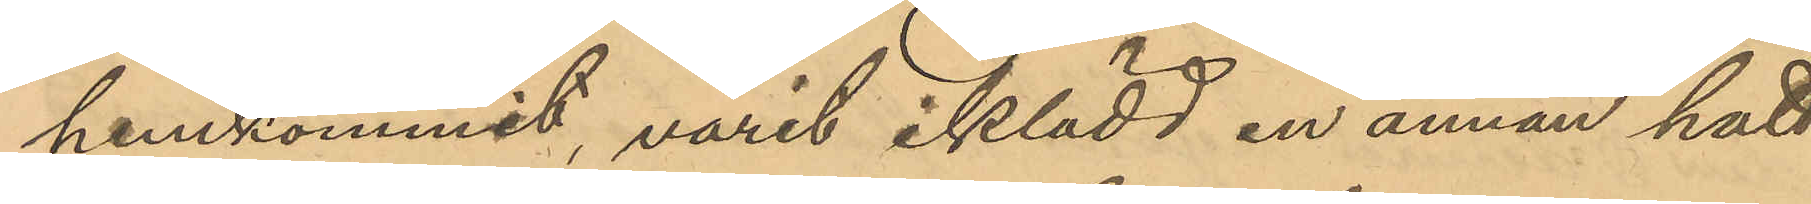hemkommit, vari iklädd en annan hatt
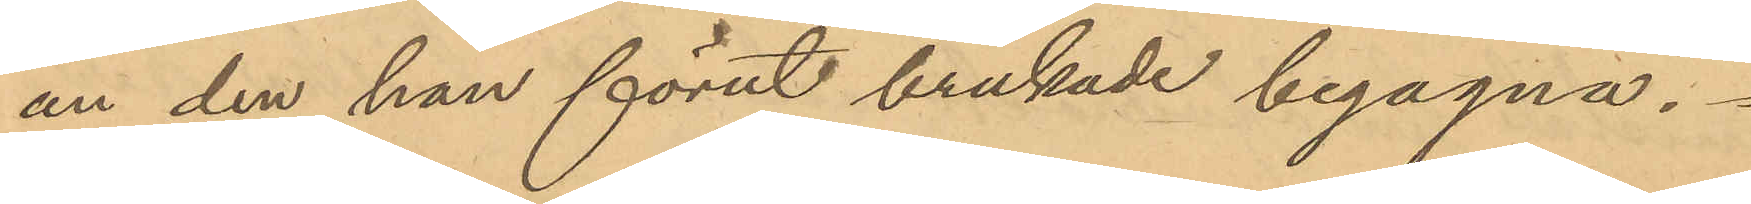än den han förut brukade begagna.
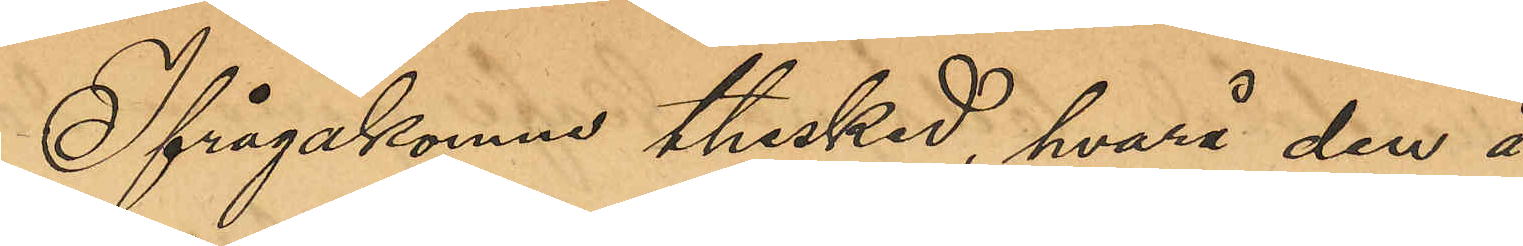Ifrågakomne thesked, hvarå den å
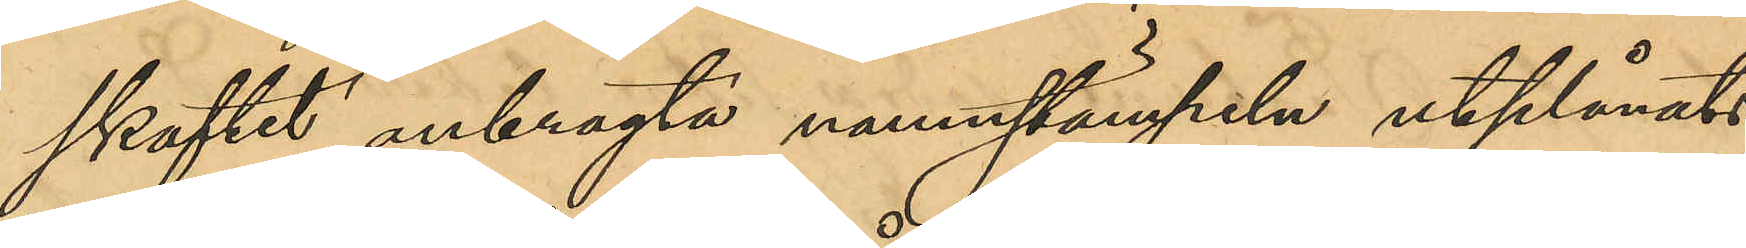skaftet anbragta namnstämpeln utplånats,
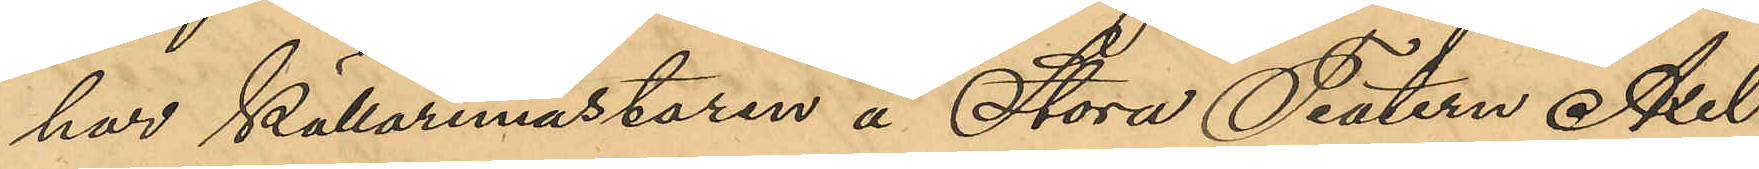har källarmästaren å Stora Teatern Axel
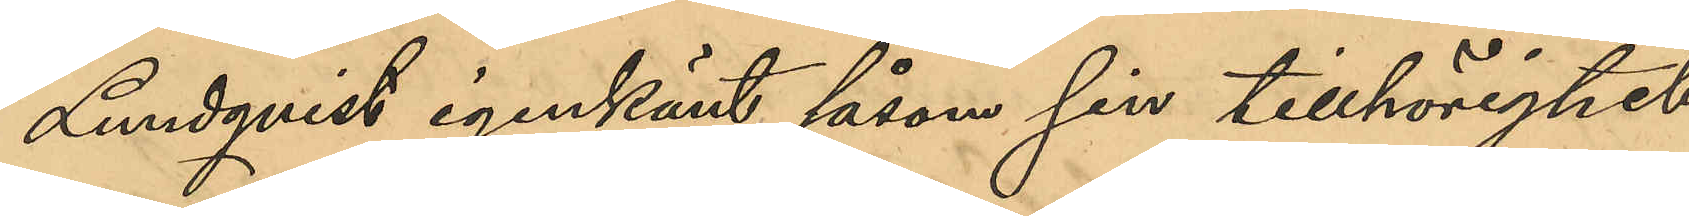Lundqvist igenkänt såsom sin tillhörighet,
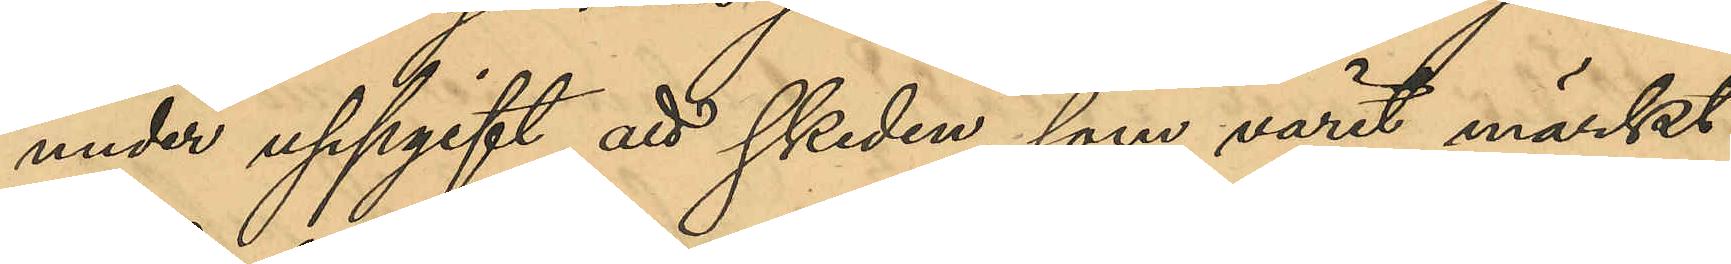under uppgift att skeden, som varit märkt
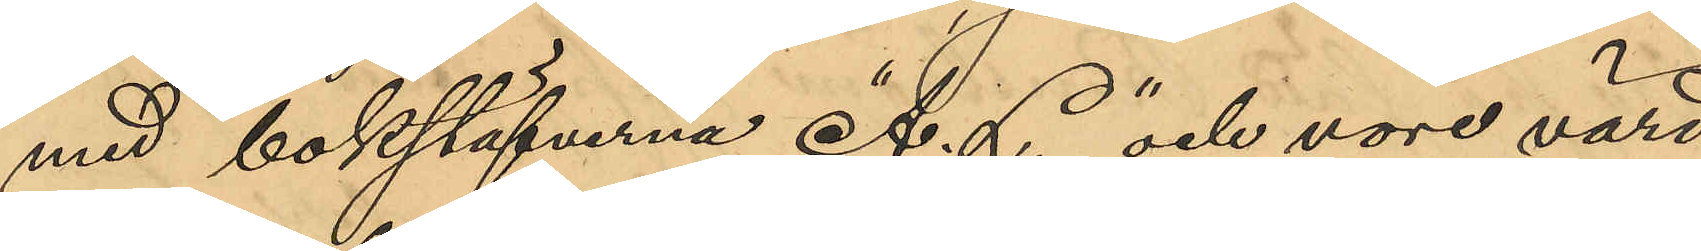med bokstäfverna "A. L." och vore värd
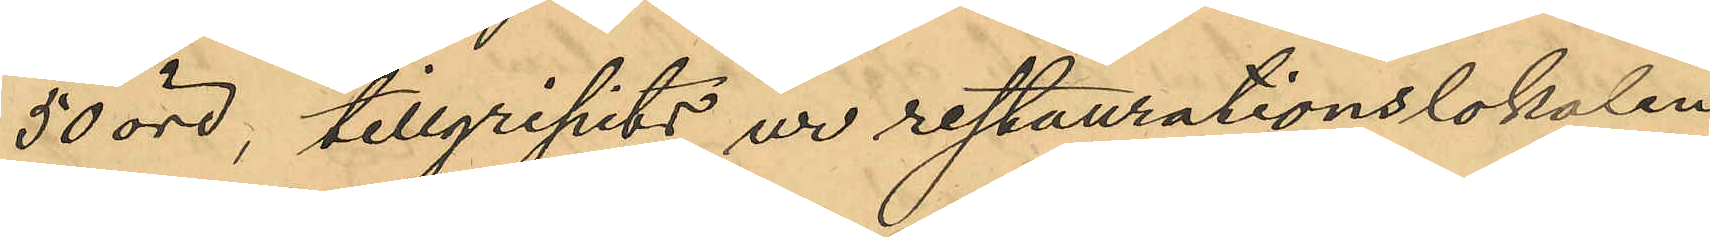50 öre, tillgripits ur restaurationslokalen
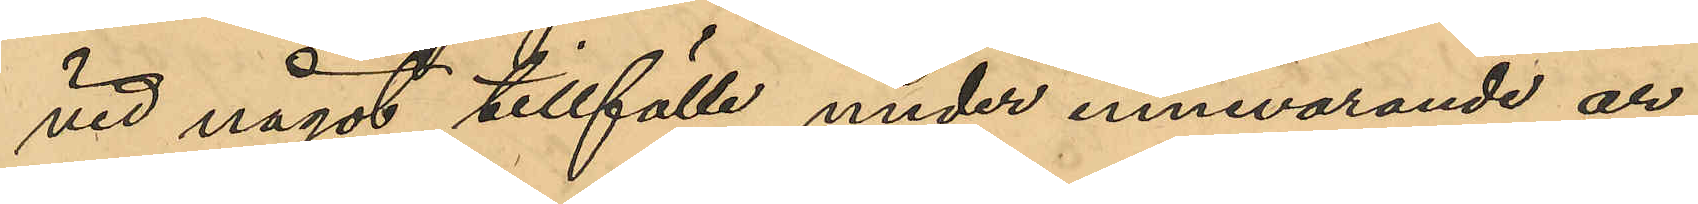vid något tillfälle under innevarande år.
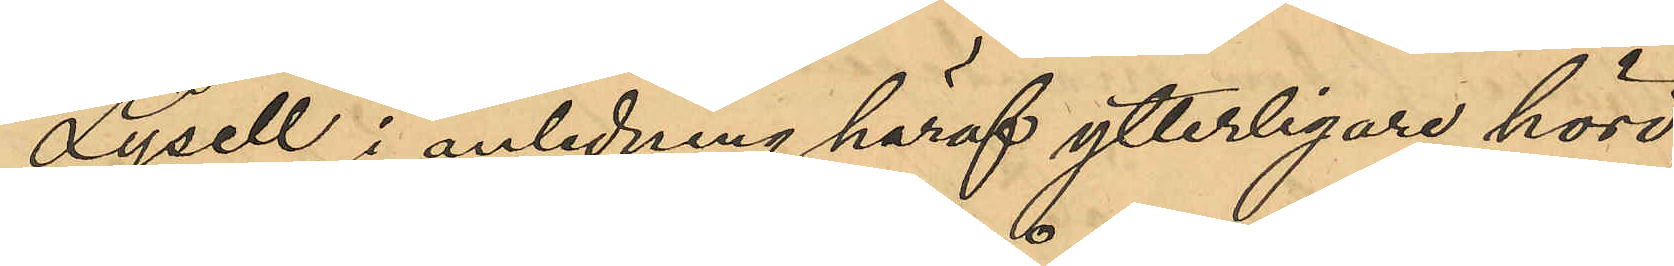Lysell, i anledning häraf ytterligare hörd,
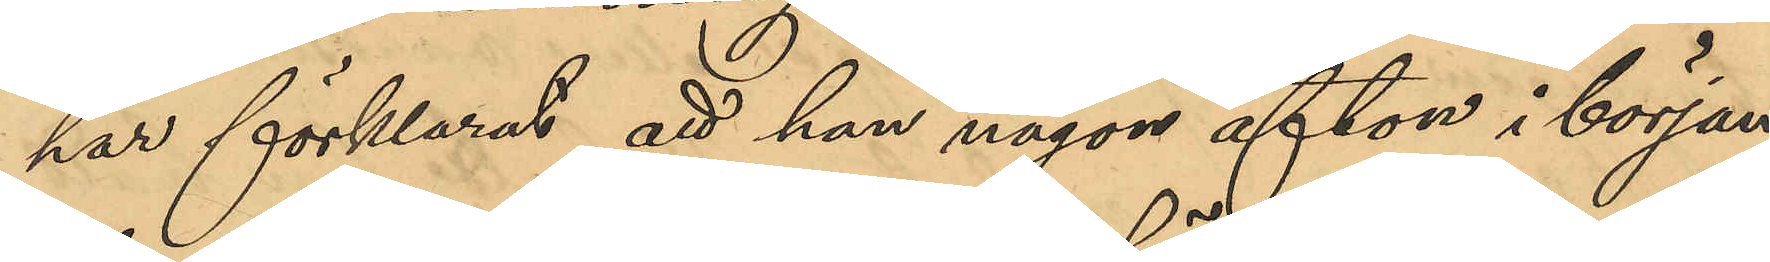har förklarat att han någon afton i början
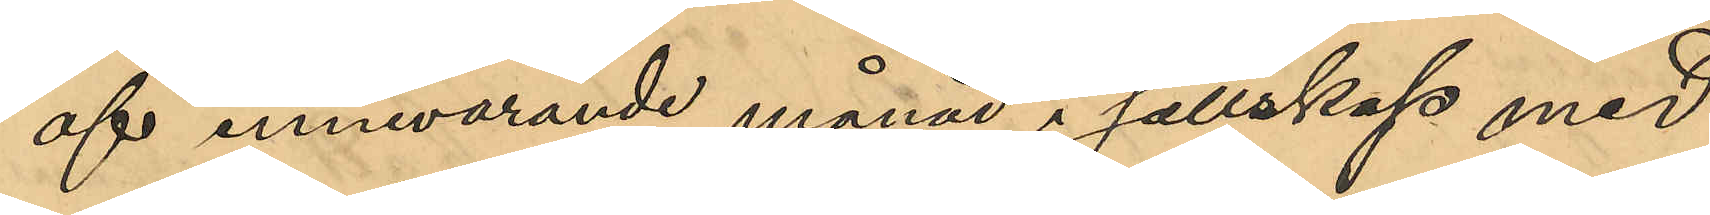af innevarande månad i sällskap med 
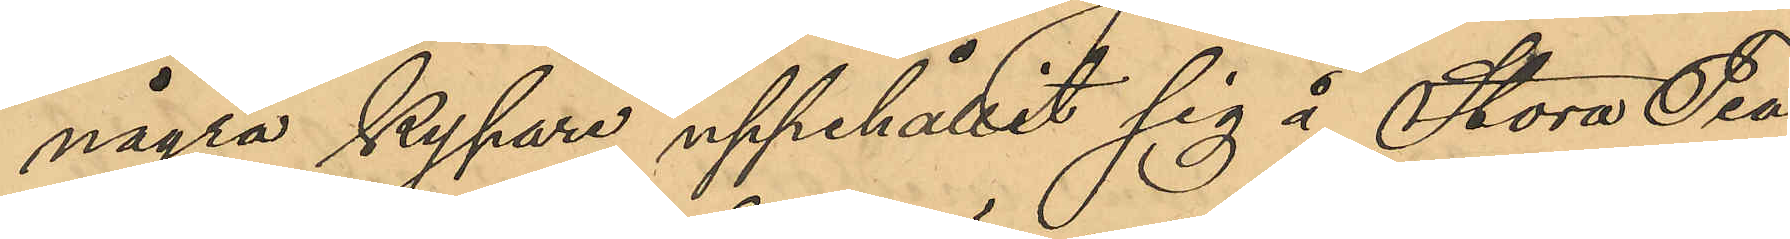några kypare uppehållit sig i Stora Tea¬
